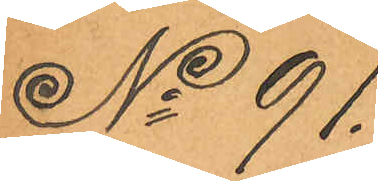No 91.
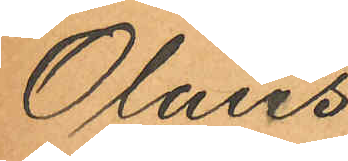Olaus
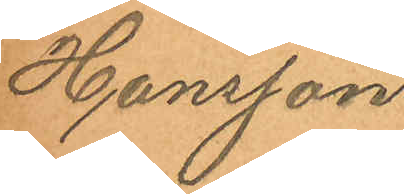Hansson
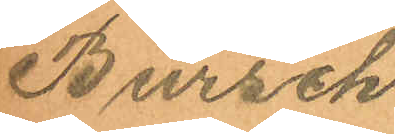Bursch
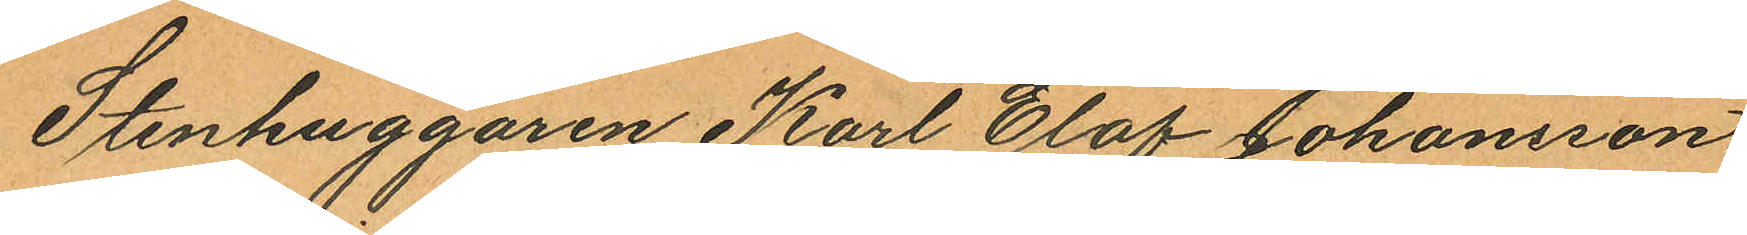Stenhuggaren Karl Olof Johansson
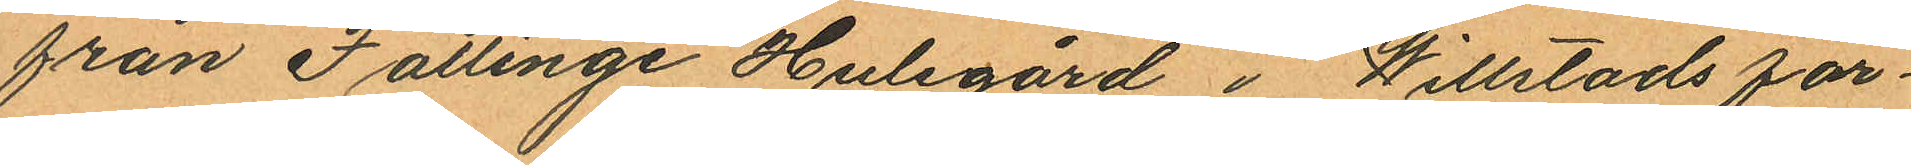från Fällinge Hulegård i Willstads för¬
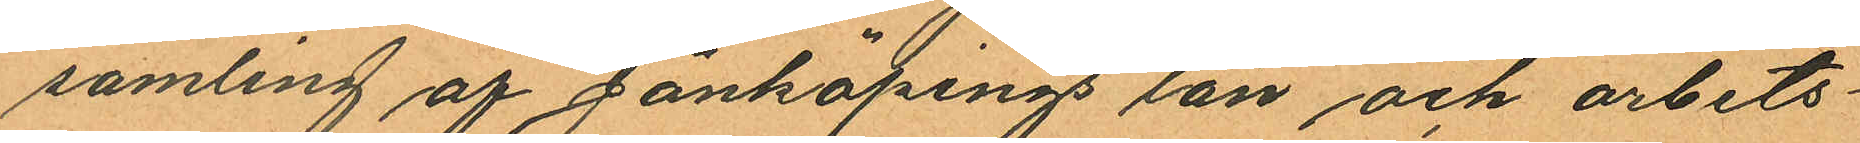samling af Jönköpings län och arbets¬
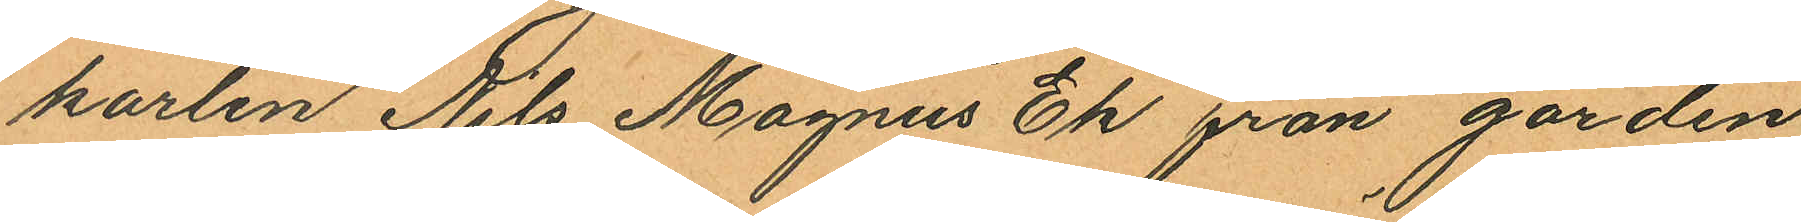karlen Nils Magnus Ek från gården
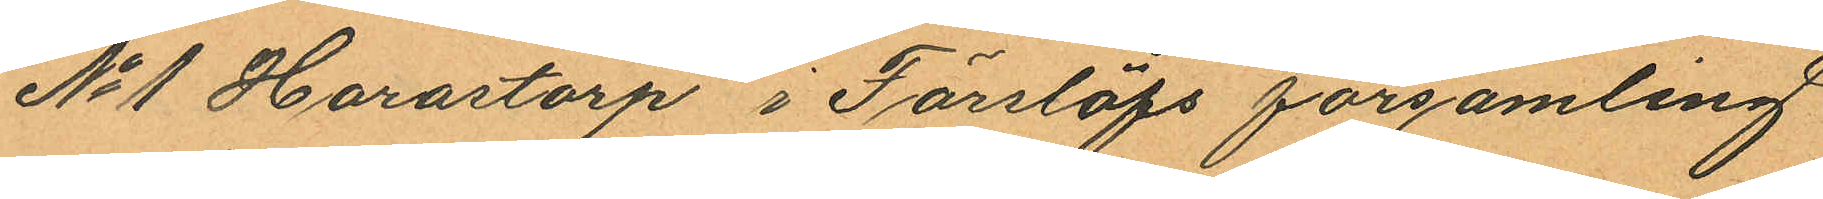No 1 Harastorp i Förslöfs församling
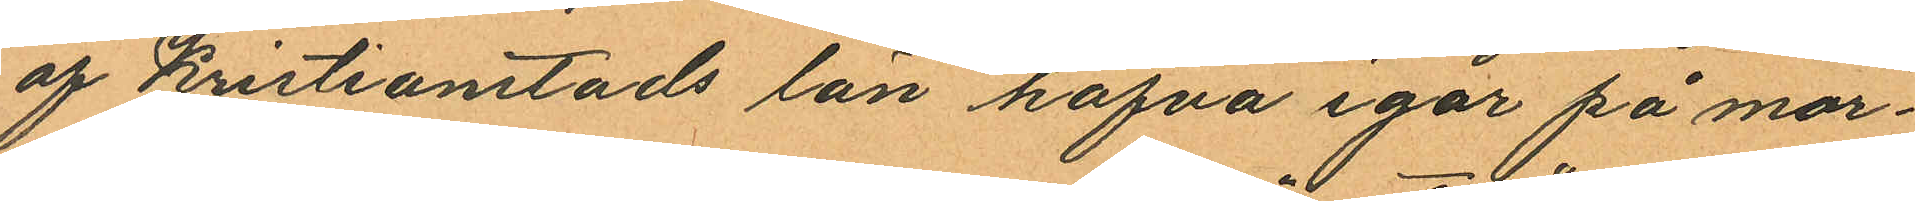af Kristianstads län hafva igår på mor¬
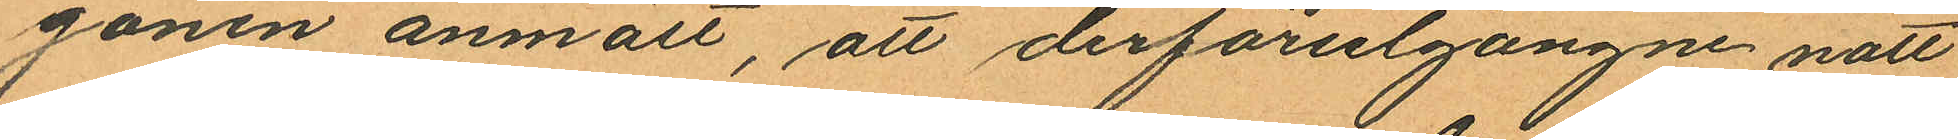gonen anmält, att derförutgångne natt
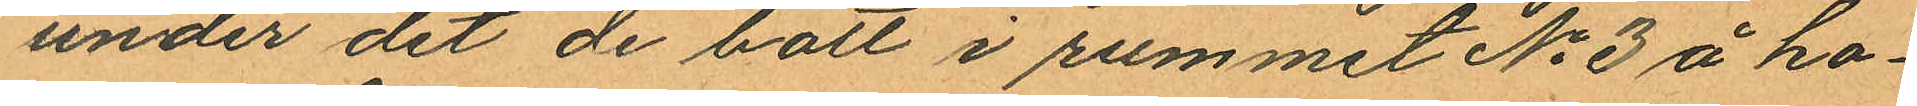under det de bott i rummet No 3 å ho¬
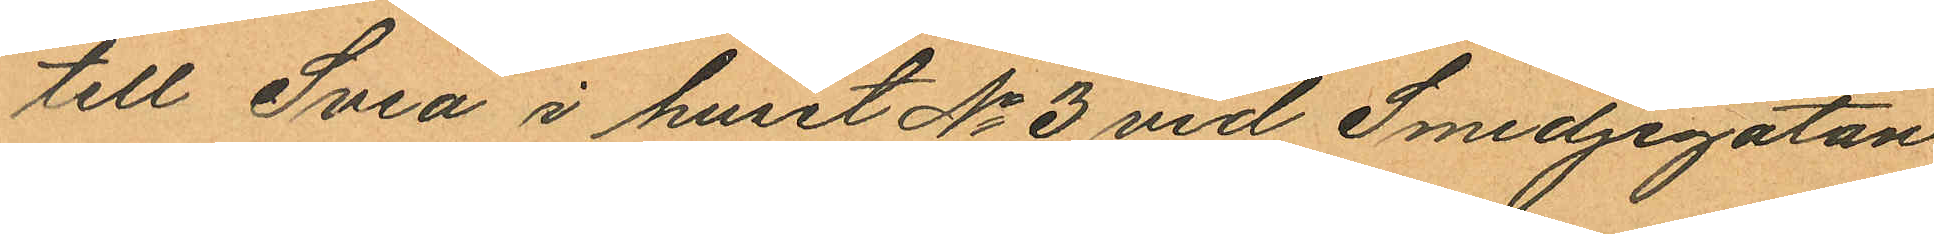till Svea i huset No 3 vid Smedjegatan
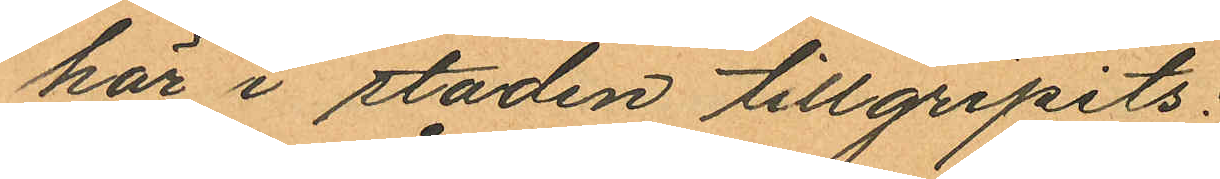här i staden tillgripits:
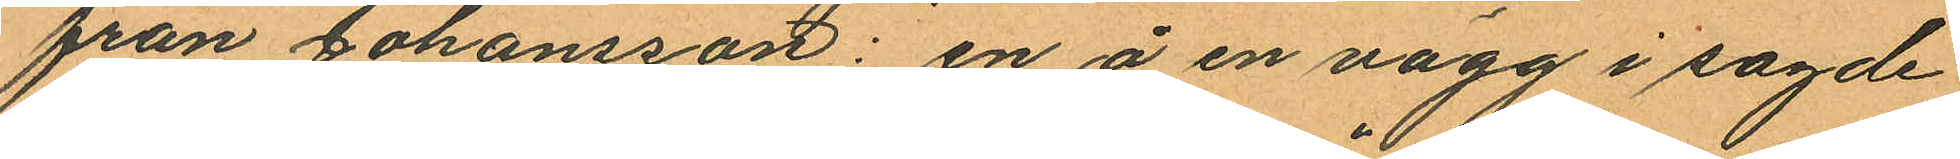från Johansson: en å en vägg i sagde
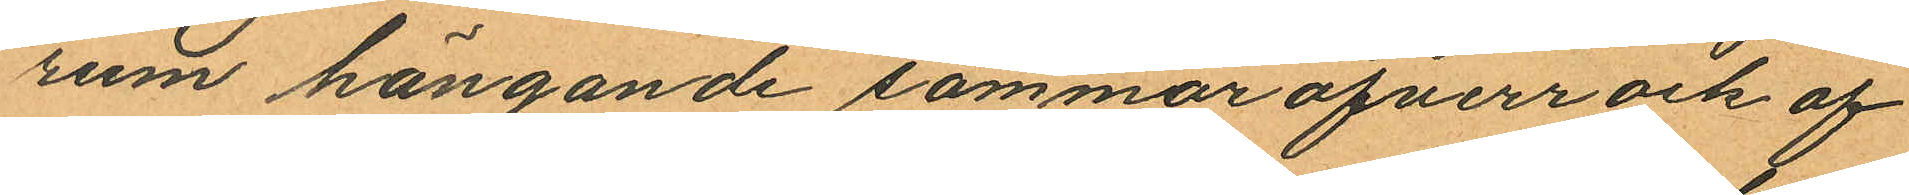rum hängande sommaröfverrock af
